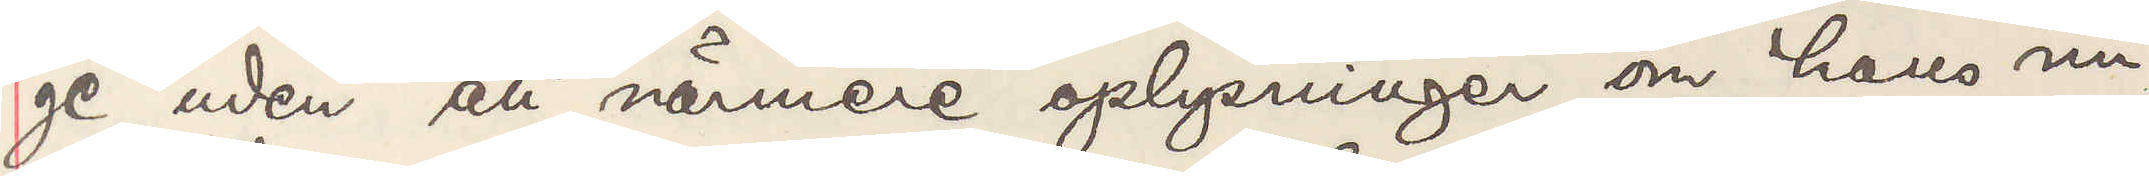ge uden att närmere oplysninger om hans nu¬
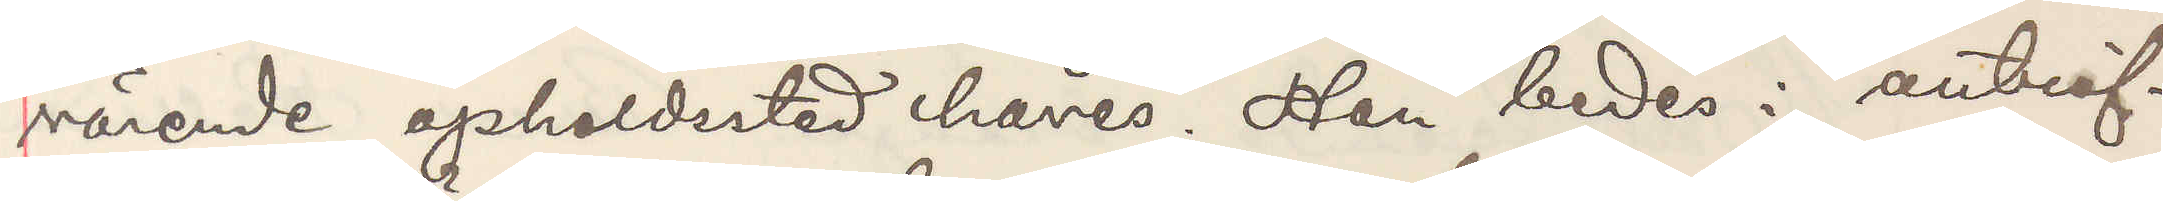värende opholdssted haves. Han bedes i anträf¬
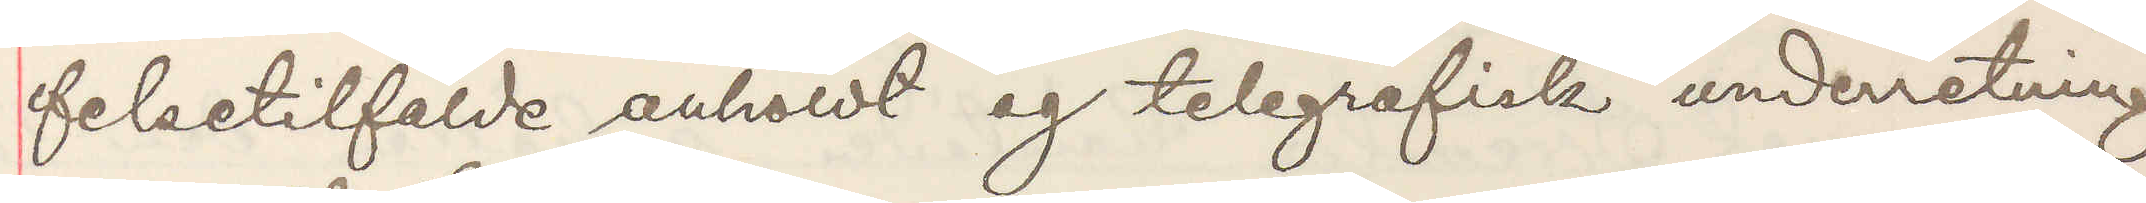felsetilfälde anholdt og telegrafisk underretning
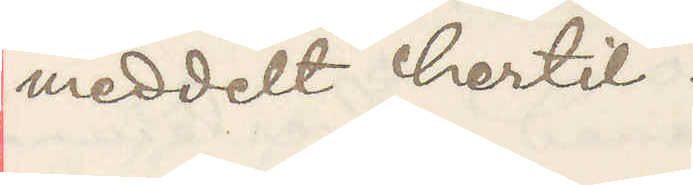meddelt hertil.
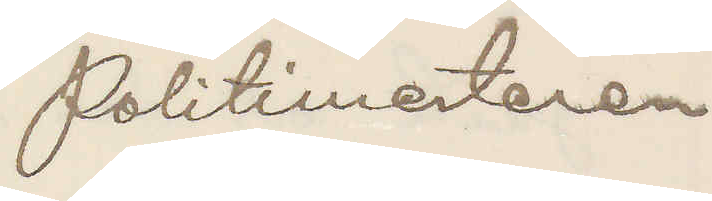Politimesteren
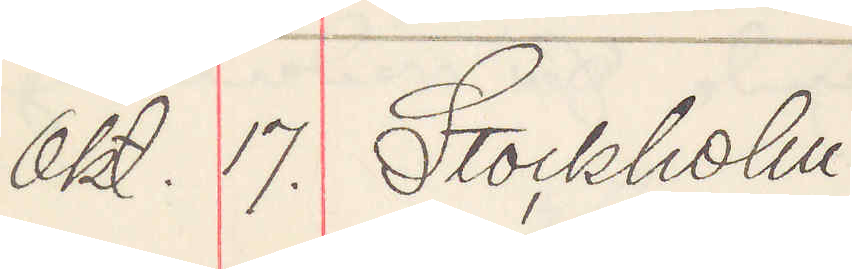Okt. 17. Stockholm
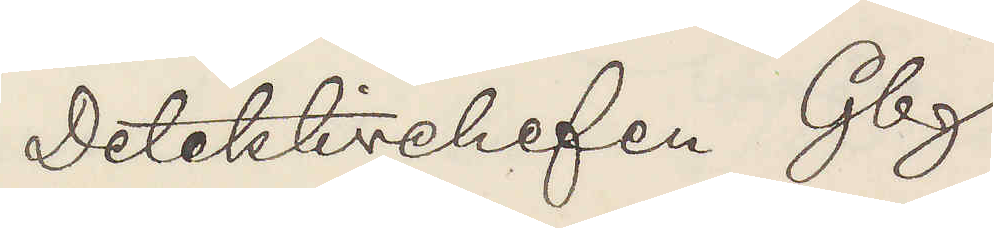Detektivchefen Gbg.
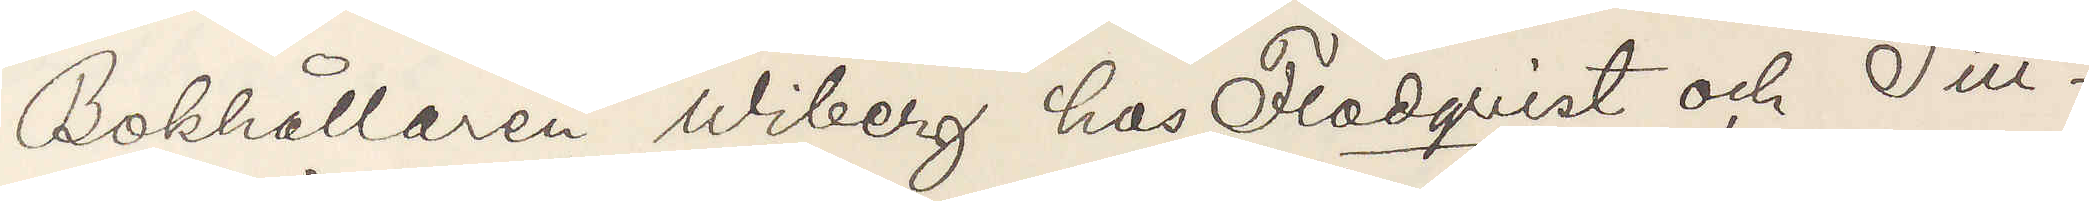Bokhållaren Wiberg hos Flodqvist och Till¬
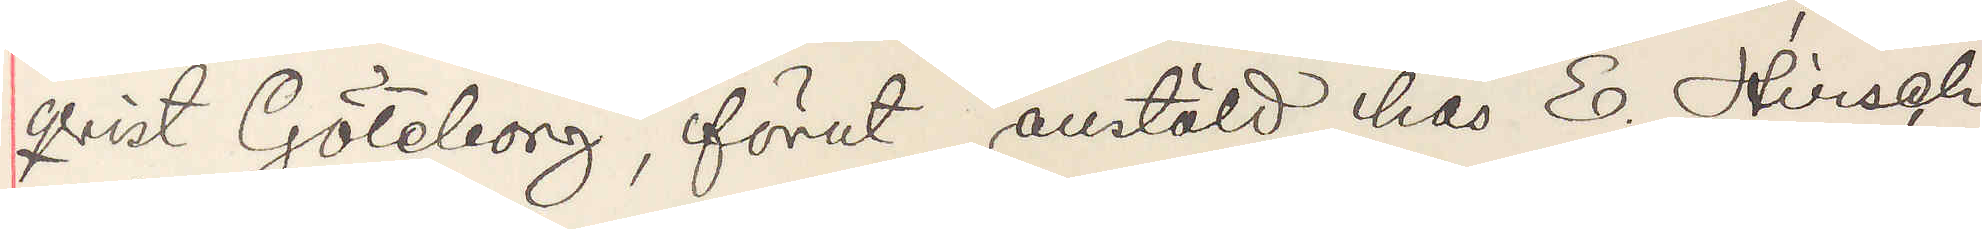qvist Göteborg, förut anstäld hos E. Hirsch
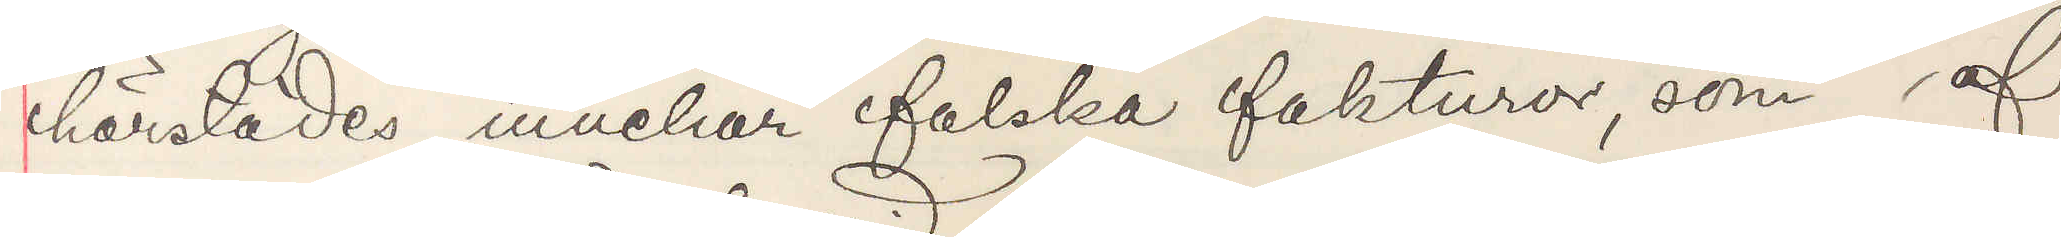härstädes, innehar falska fakturor, som af
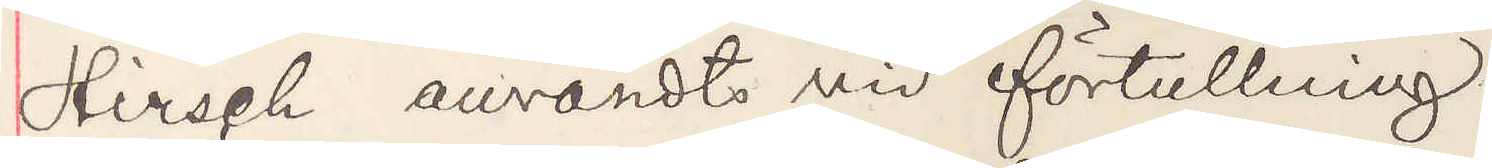Hirsch användts vid förtullning.
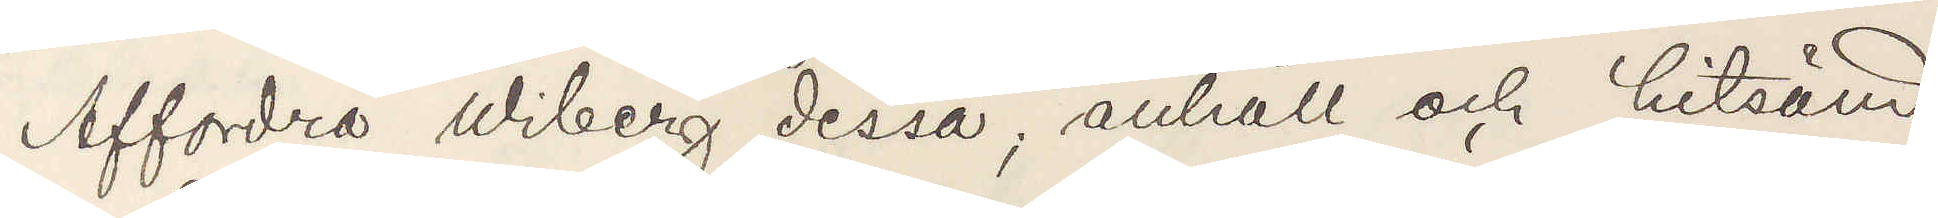Affordra Wiberg dessa; anhåll och hitsänd
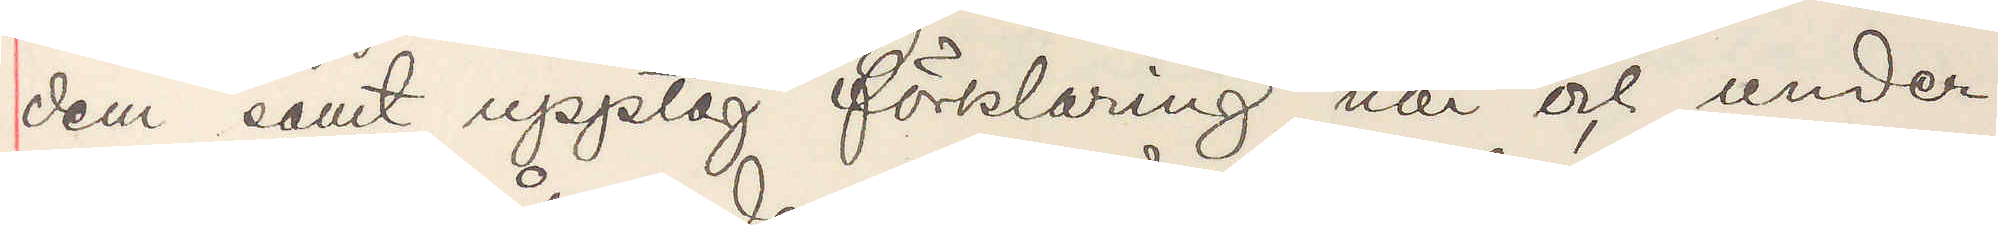den samt upptag förklaring när och under
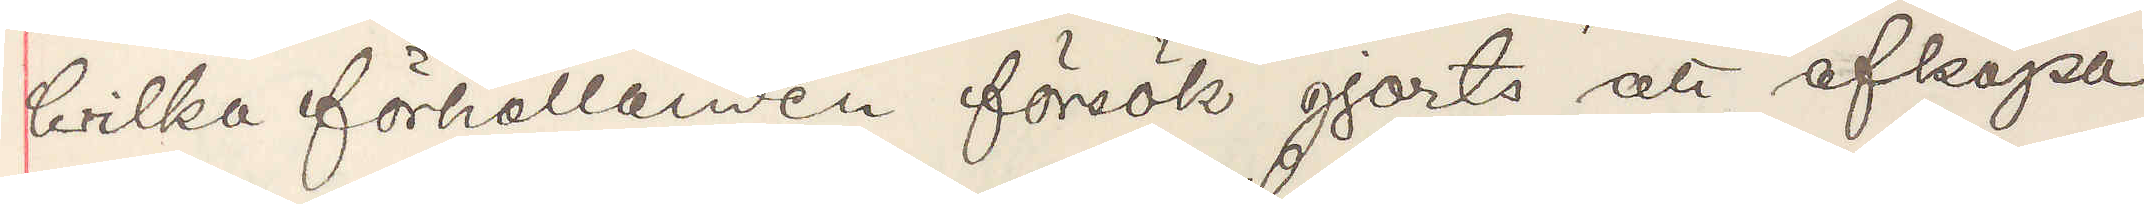hvilka förhållanden försök gjorts att afköpa
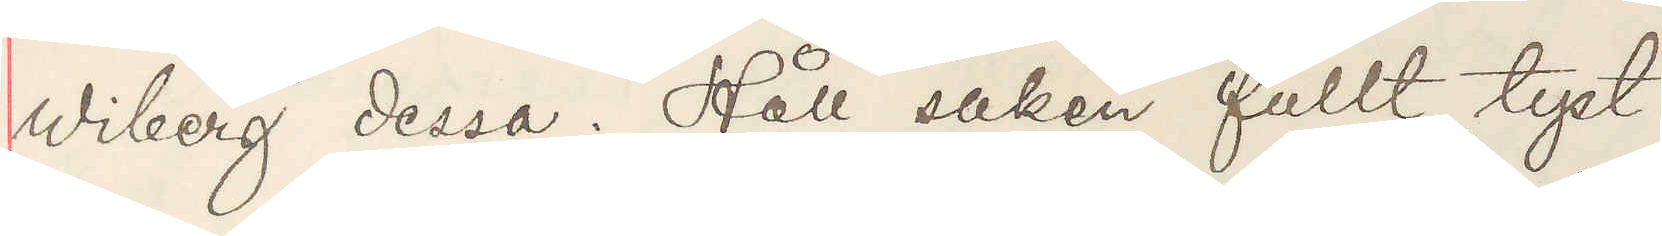Wiberg dessa. Håll saken fullt tyst.
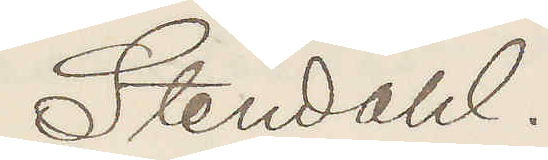Stendahl.
